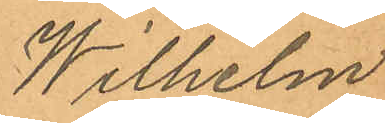Wilhelm
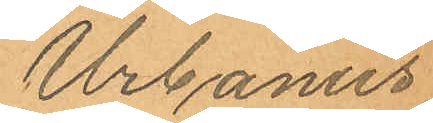Urbanus
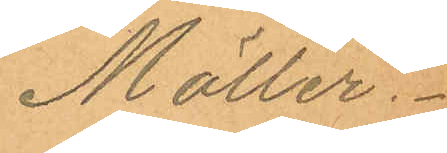Möller.
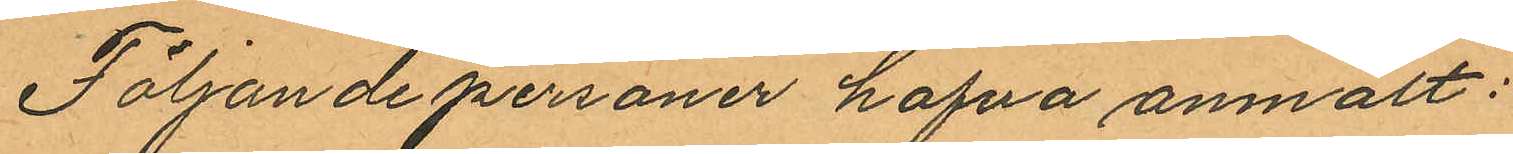Följande personer hafva anmält:
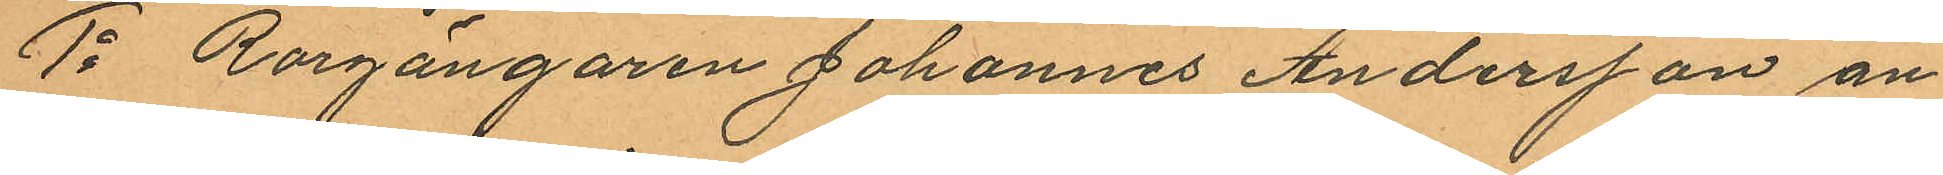1o Rorgängaren Johannes Andersson an¬
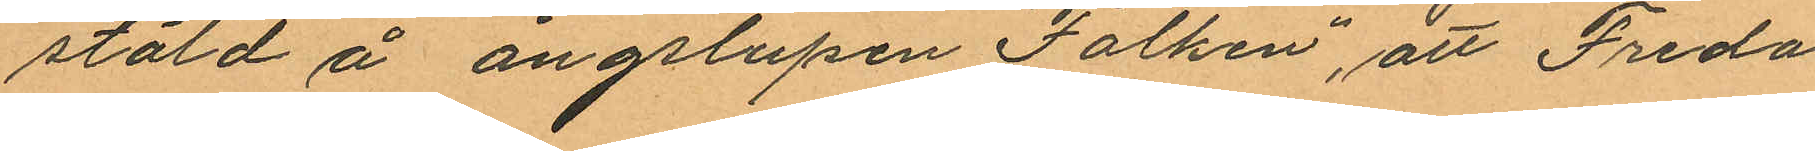stäld å ångslupen "Falken", att Freda¬
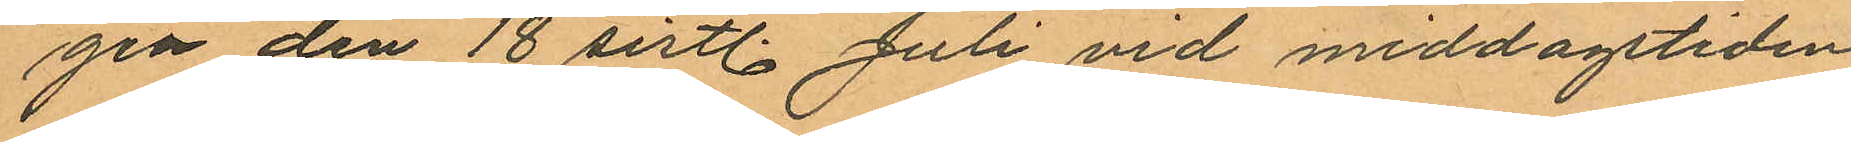gen den 18 sistl. Juli vid middagstiden
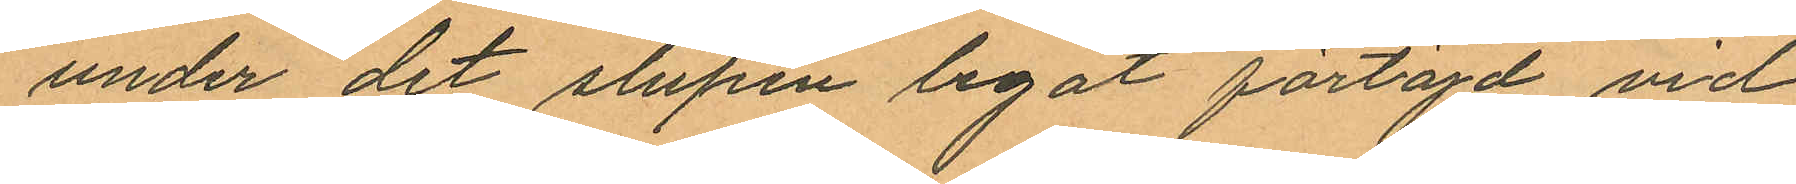under det slupen legat förtöjd vid
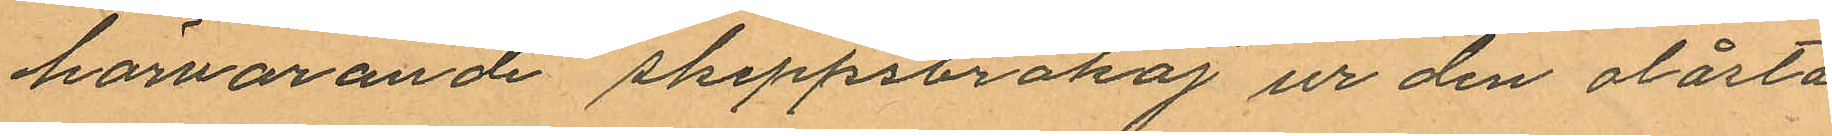härvarande Skeppsbrokaj ur den olåsta
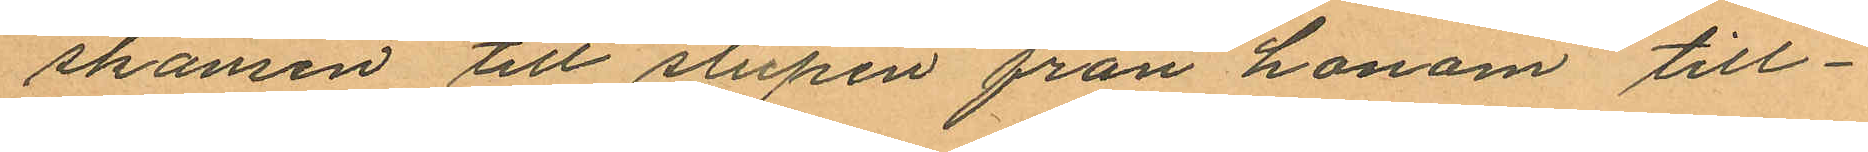skansen till slupen från honom till¬
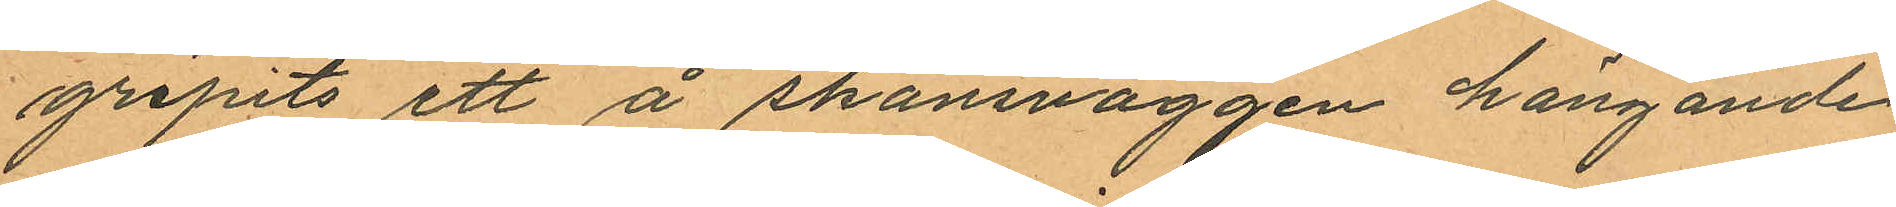gripits ett å skansväggen hängande
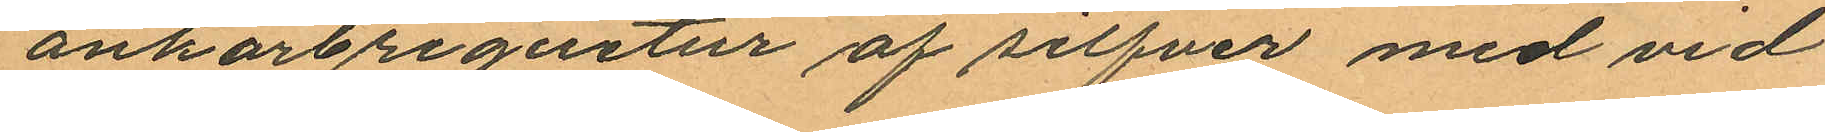ankarbriguetur af silfver med vid
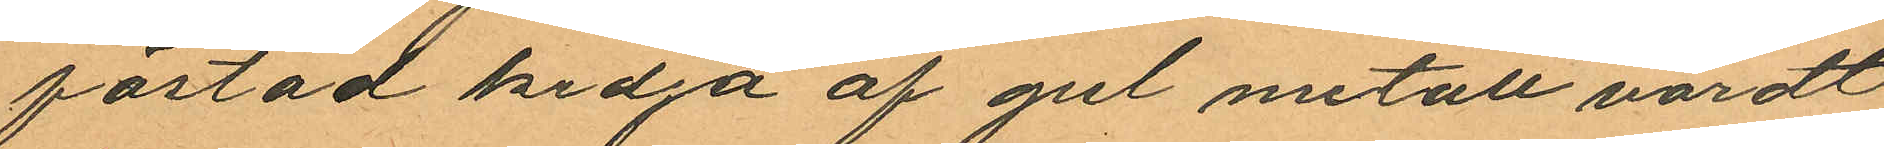fästad kedja af gul metall värdt
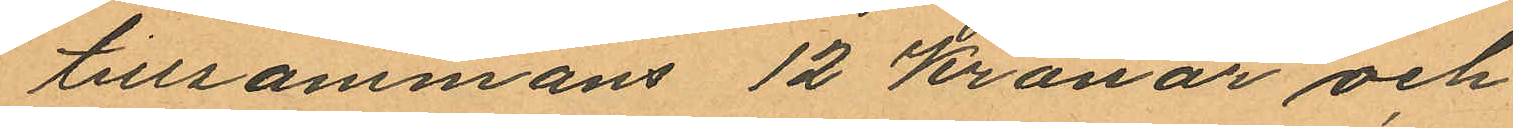tillsammans 12 kronor och
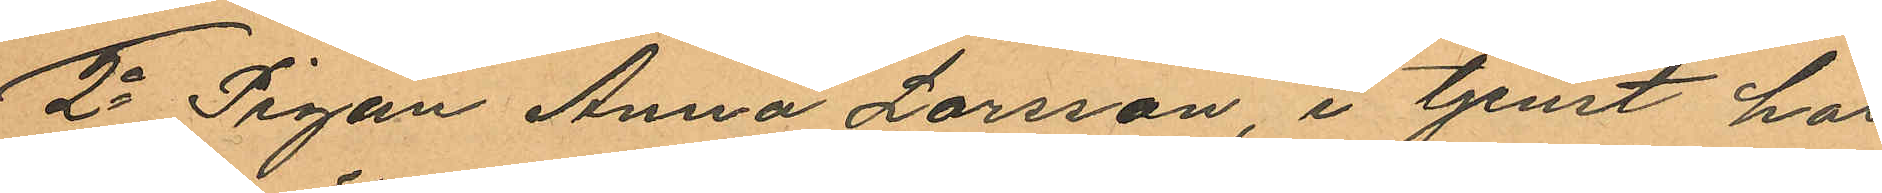2o Pigan Anna Larsson, i tjenst hos
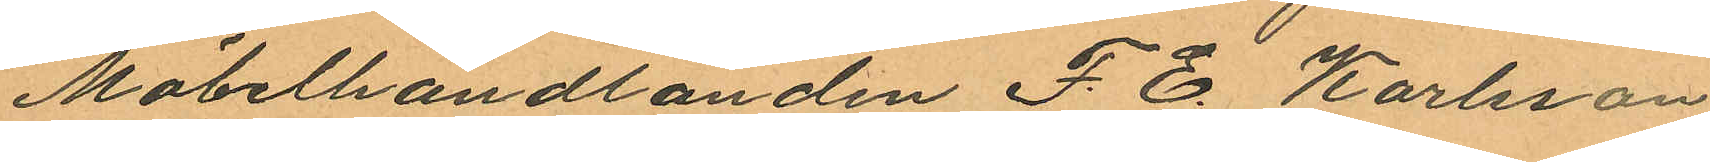Möbelhandlanden F. E. Karlsson
